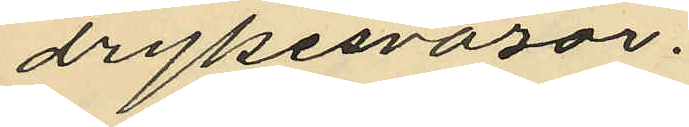drykesvaror.
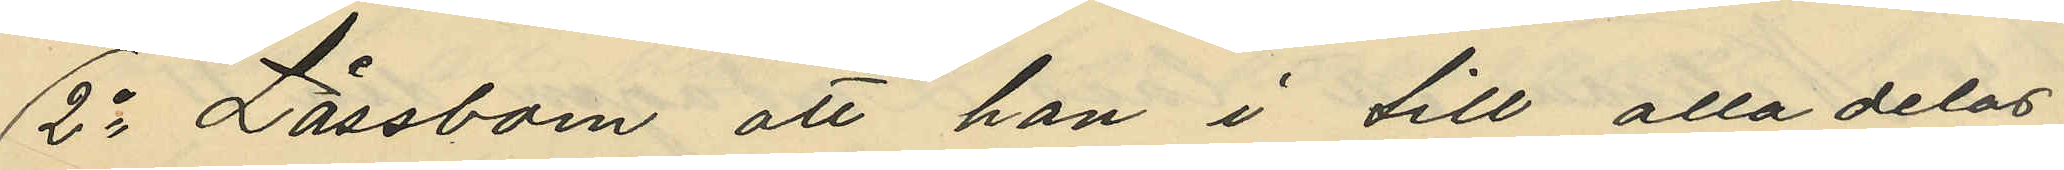2o Låssbom att han i till alla delar
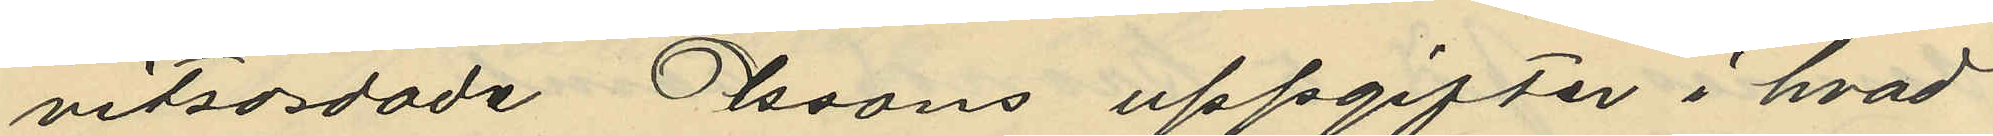vitsordade Olssons uppgifter i hvad
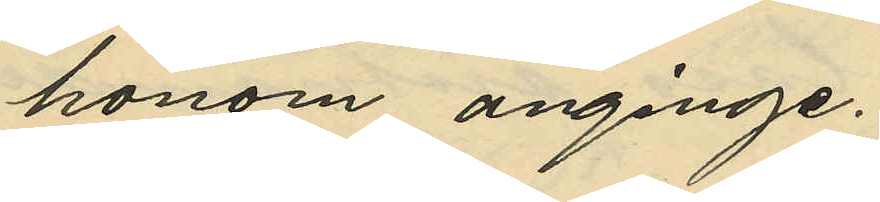honom anginge.
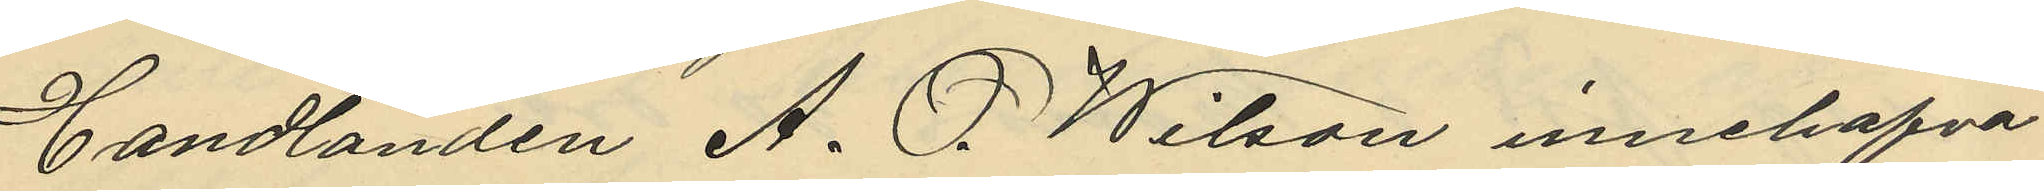Handlanden A. O. Wilson innehafva¬
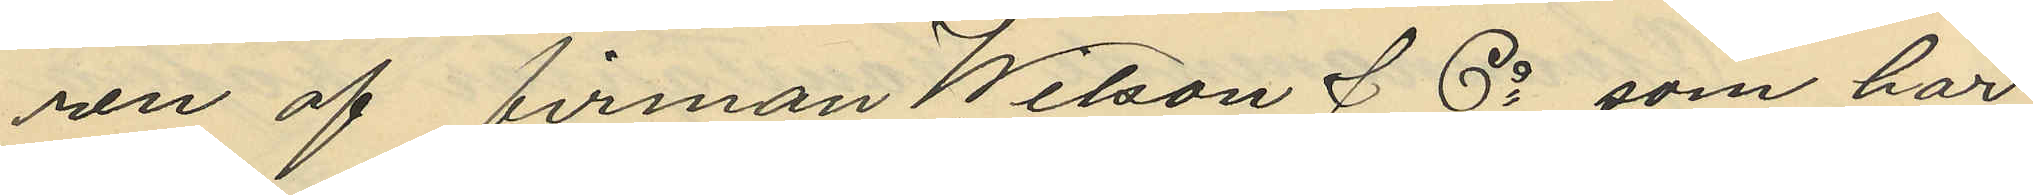ren af firman Wilson & Co som har
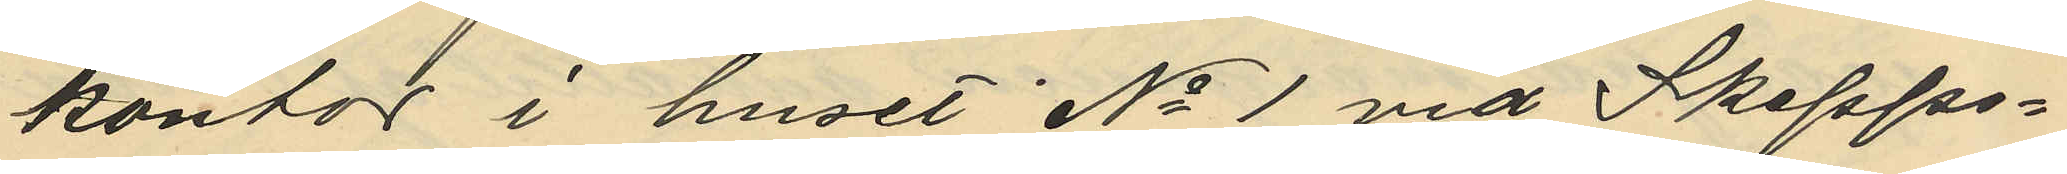kontor i huset No 1 vid Skepps¬
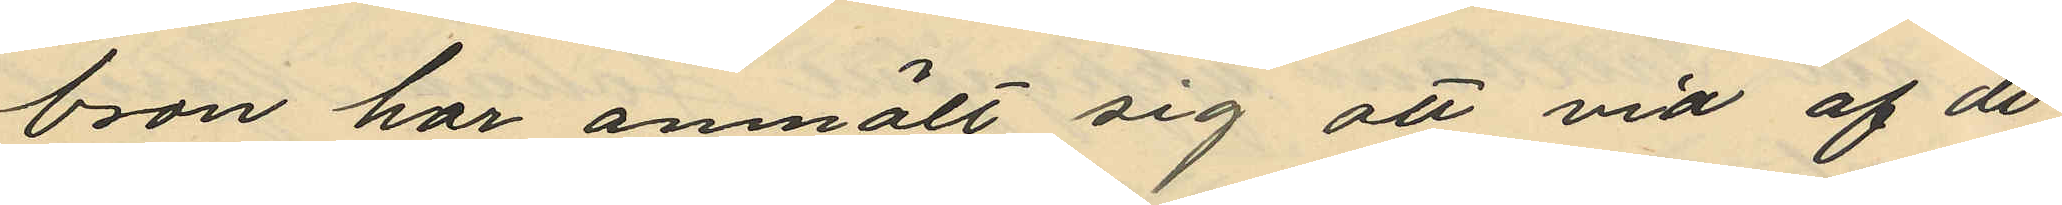bron har anmält sig att vid af de
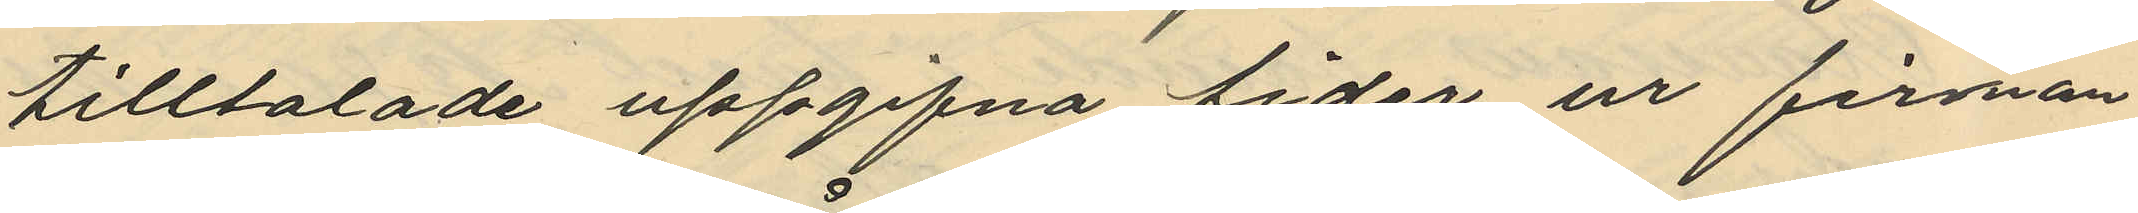tilltalade uppgifna tider ur firman
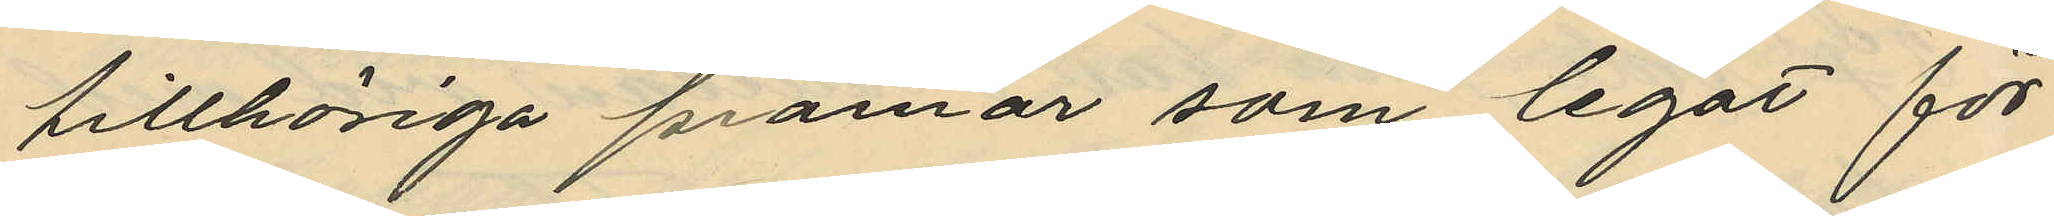tillhöriga pråmar som legat för¬
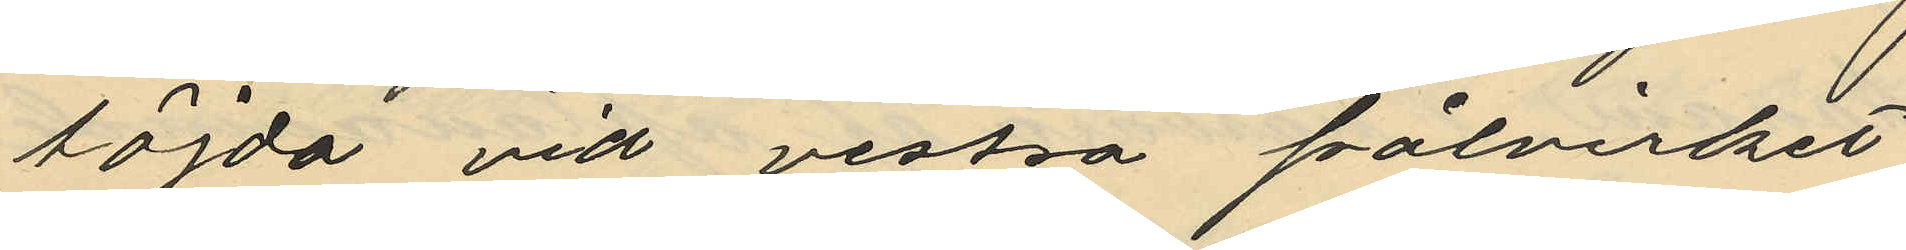föjda vid vestra pålvirket
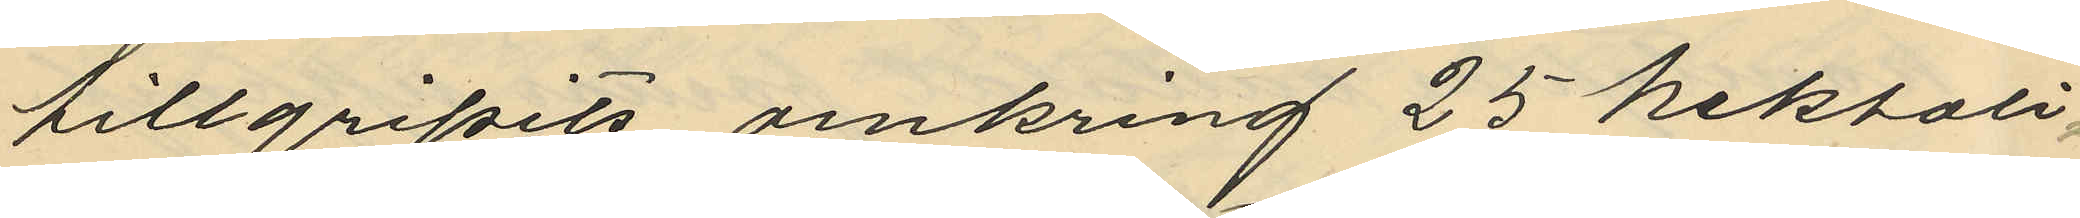tillgripits omkring 25 hektoli¬
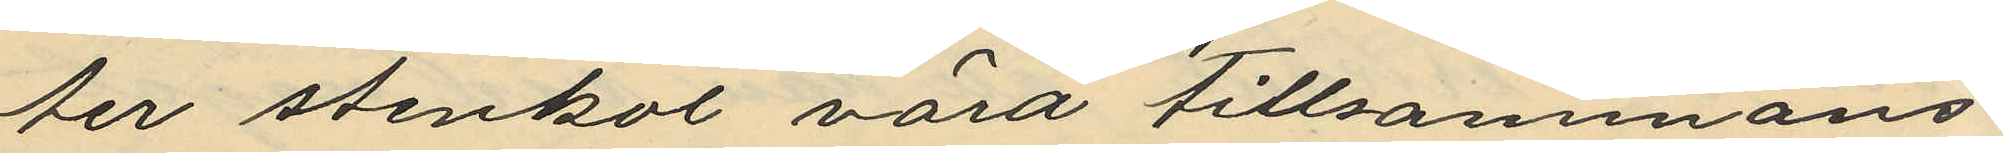ter stenkol vära tillsammans
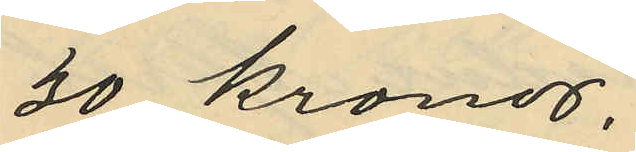30 kronor.
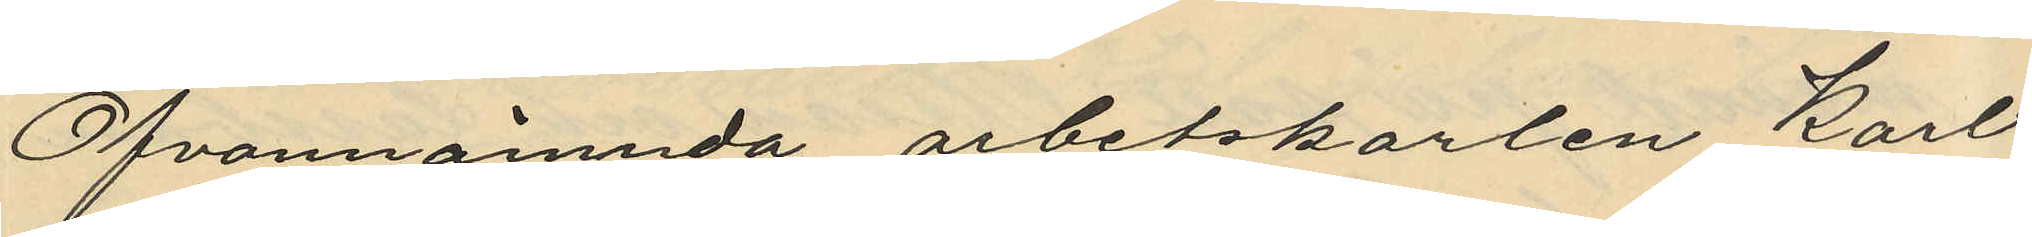Ofvannämnda arbetskarlen Karl
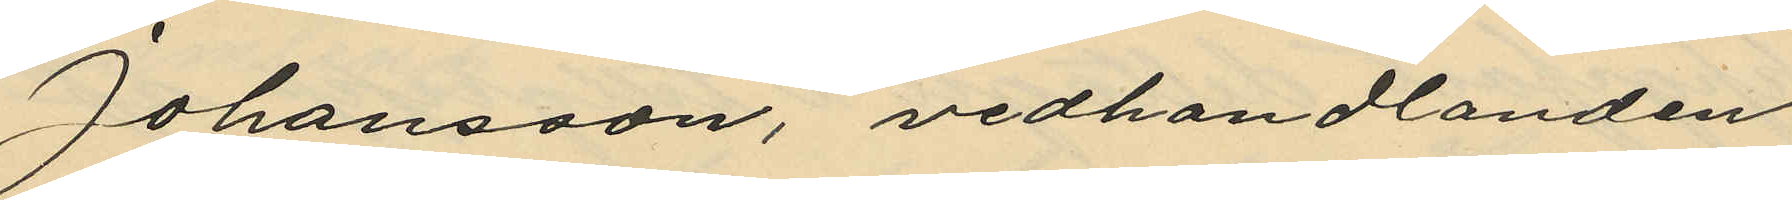Johansson, vedhandlanden
